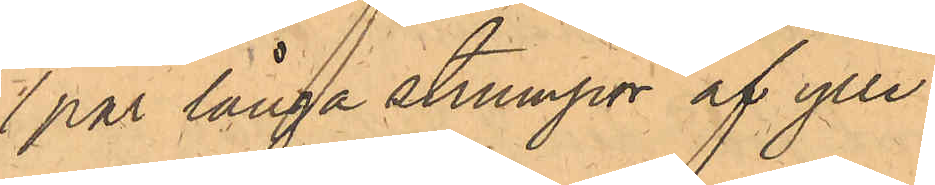1 par långa strumpor af ylle
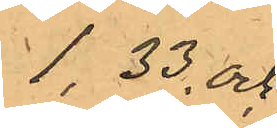1,33 och
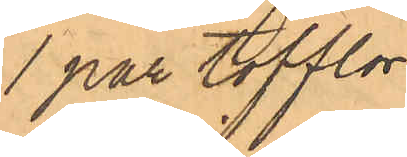1 par tofflor
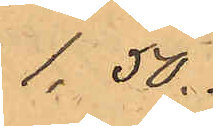1,50.
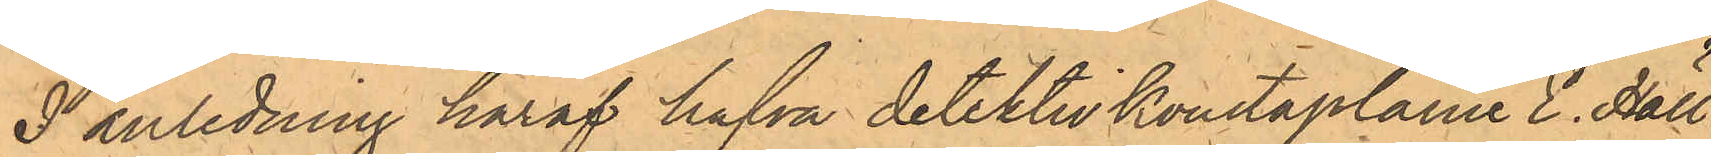I anledning häraf hafva detektivkonstaplarne E. Häll¬
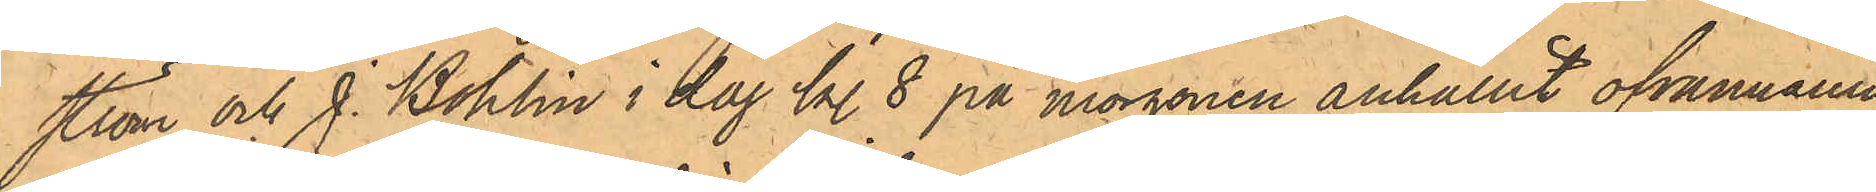ström och J. Bohlin i dag kl. 8 på morgonen anhållit ofvannämn¬
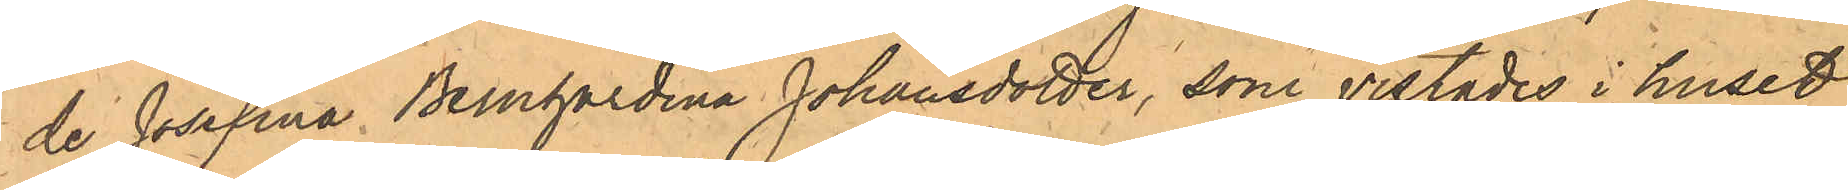de Josefina Bernhardina Johansdotter, som vistades i huset
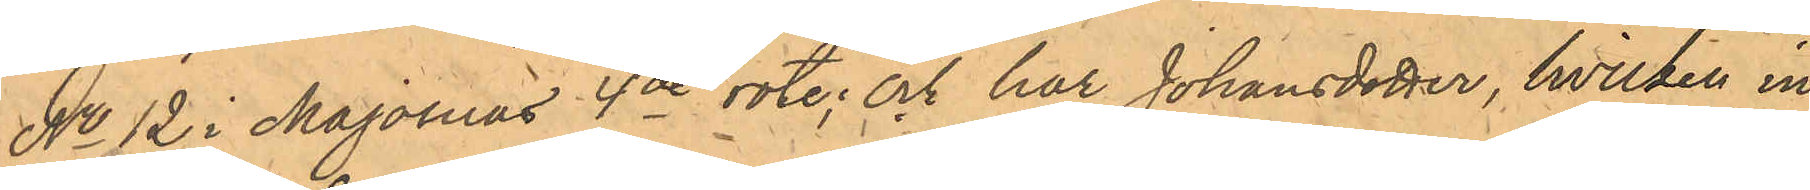No 12 i Majornas 4de rote; och har Johansdotter, hvilken in¬
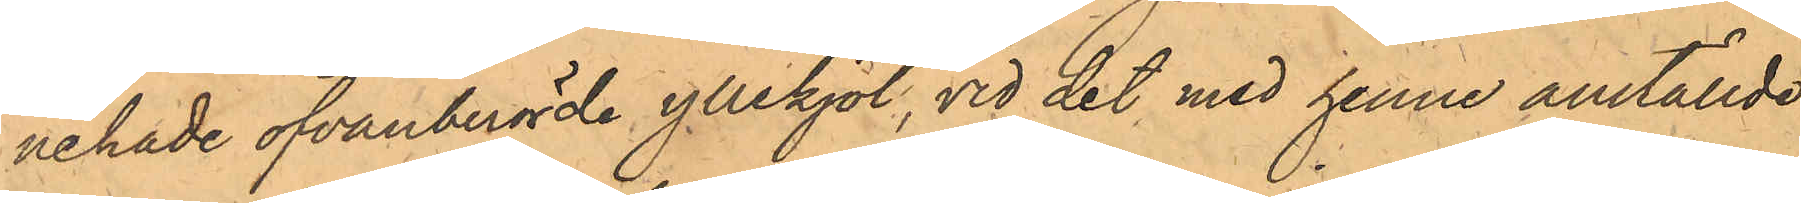nehade ofvanberörde yllekjol, vid det med henne anställde
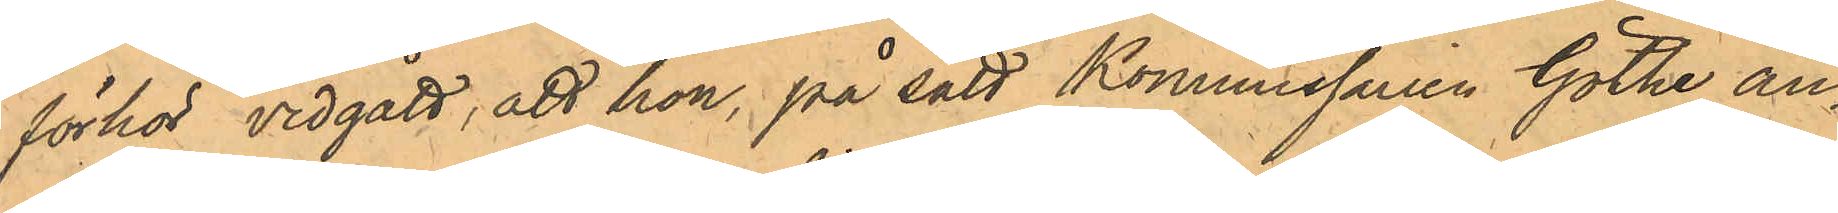förhör vidgått, att hon, på sätt Kommissarien Göthe an¬
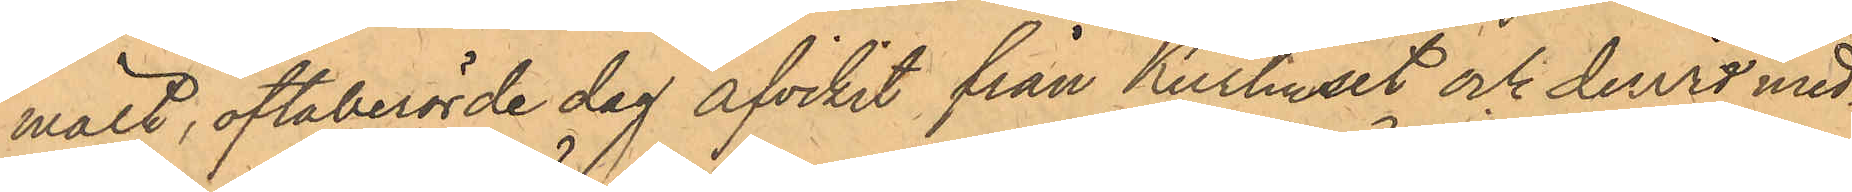mält, oftaberörde dag afvikit från Kurhuset och dervid med¬
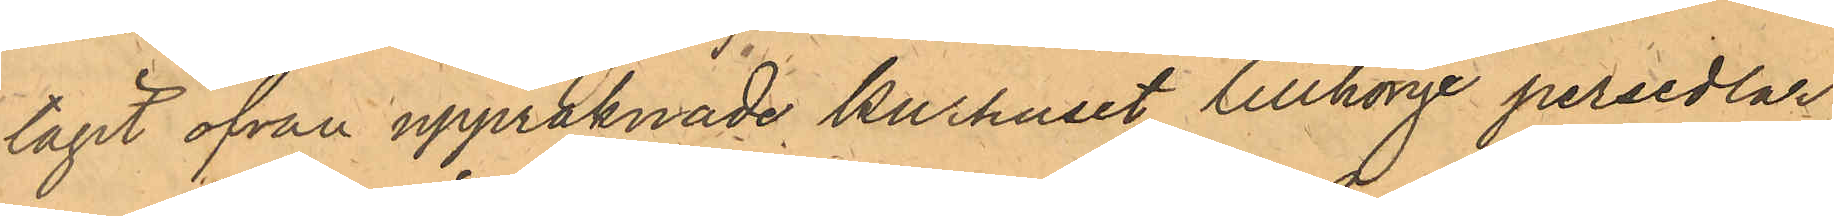tagit ofvan uppräknade Kurhuset tillhörige persedlar,
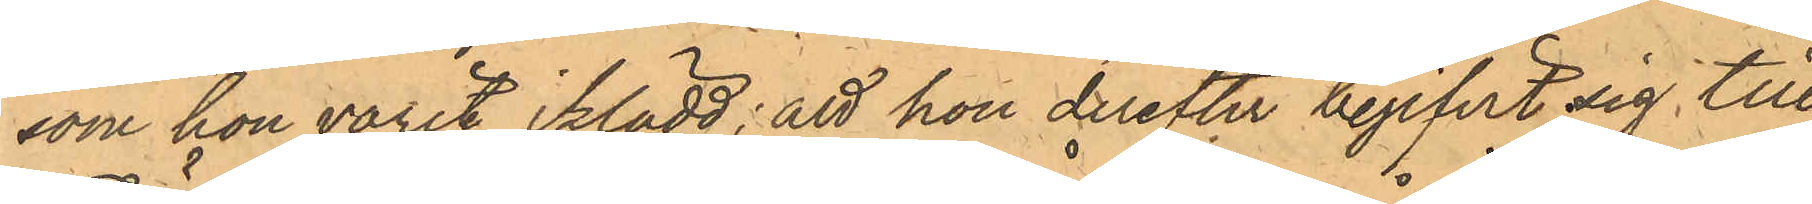som hon varit iklädd; att hon derefter begifvit sig till
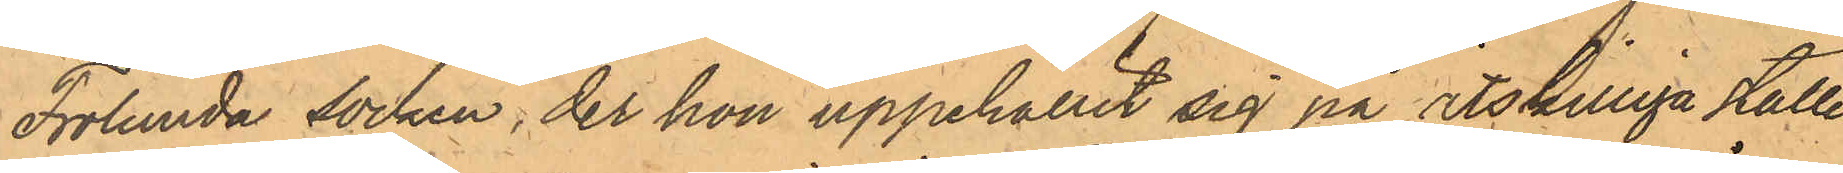Frölunda socken, der hon uppehållit sig på åtskilliga ställen
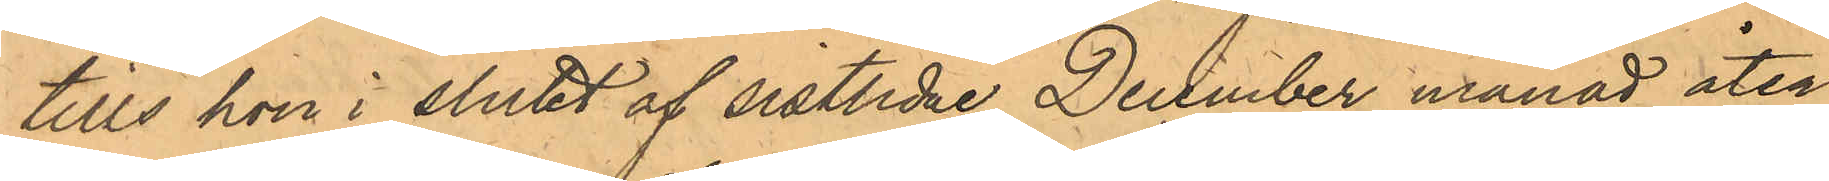tills hon i slutet av sistlidne December månad åter¬
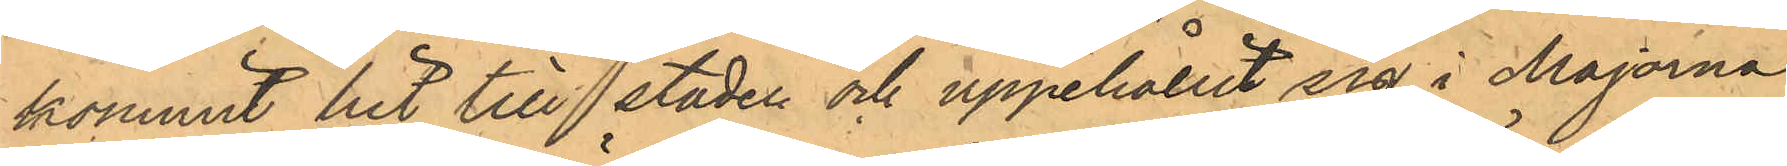kommit hit till staden och uppehållit sig i Majorna,
